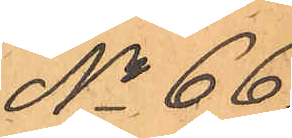No 66.
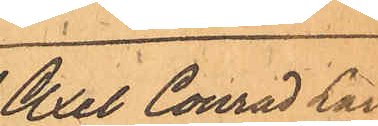Axel Conrad Lars¬
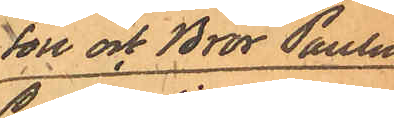son och Bror Paulus
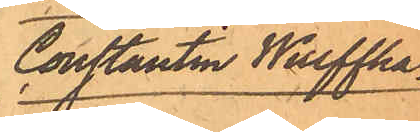Constantin Wulffha¬
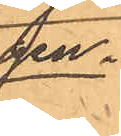gen.
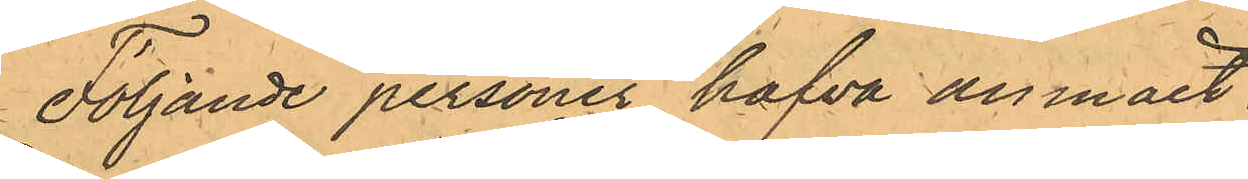Följande personer hafva anmält:
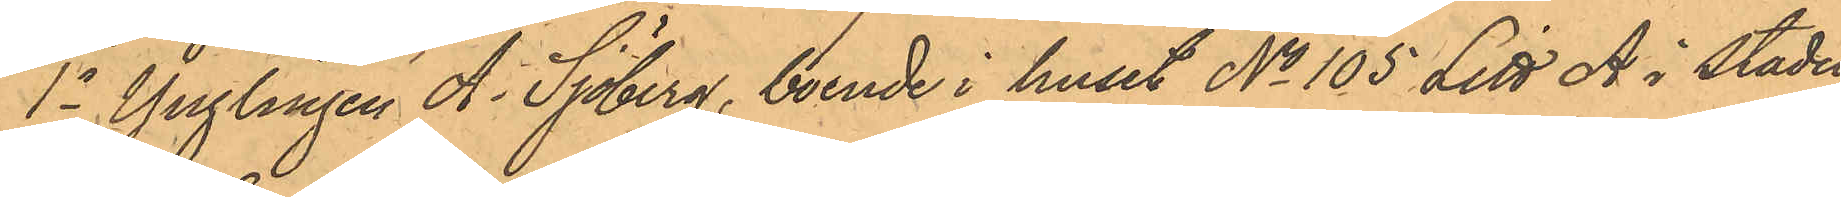1o Ynglingen A. Sjöberg, boende i huset No 105 Litt A i Stadens
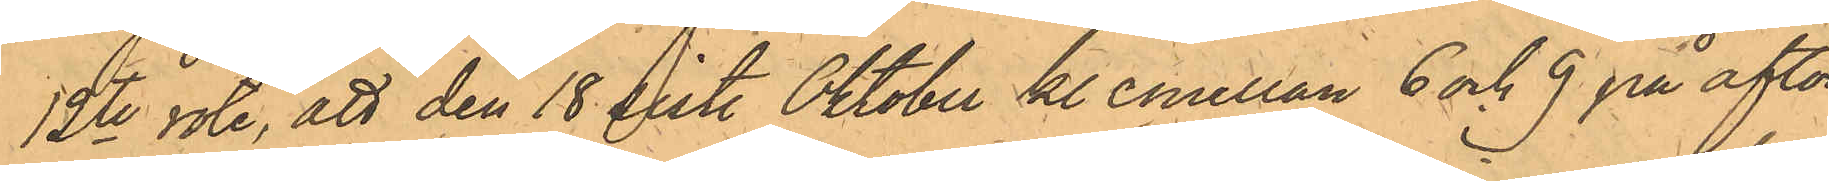12te rote, att den 18 sistl. Oktober kl emellan 6 och 9 på afton,
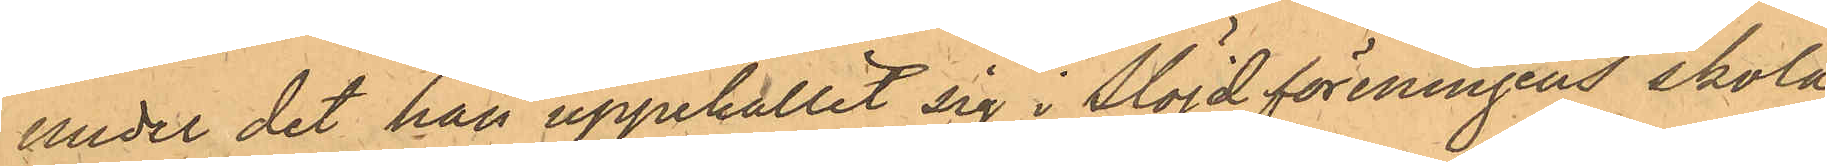under det han uppehållit sig i Slöjdföreningens skola,
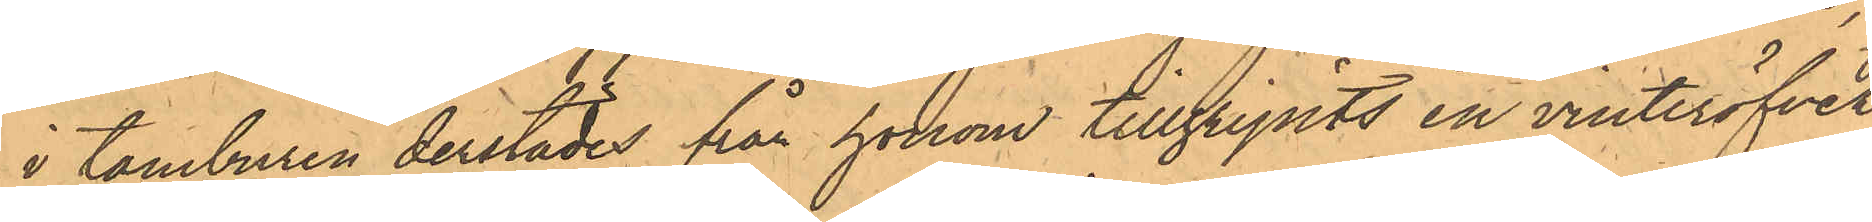i tamburen derstädes från honom tillgripits en vinteröfver¬
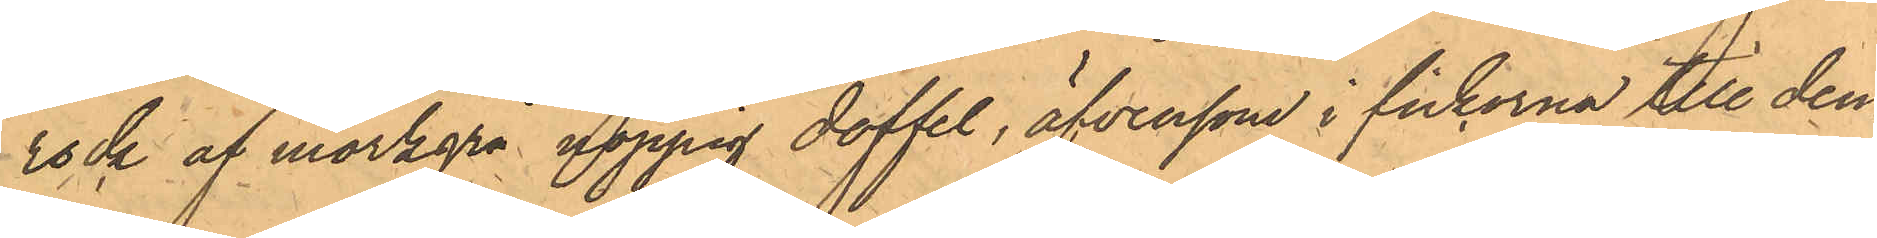rock af mörkgrå noppig doffel, äfvensom i fickorna till den¬
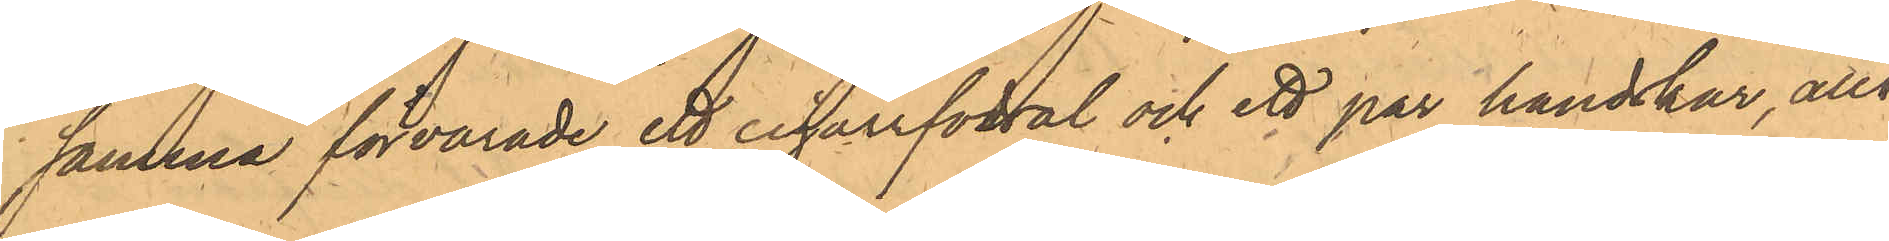samma förvarade ett cigarrfodral och ett par handskar, allt¬
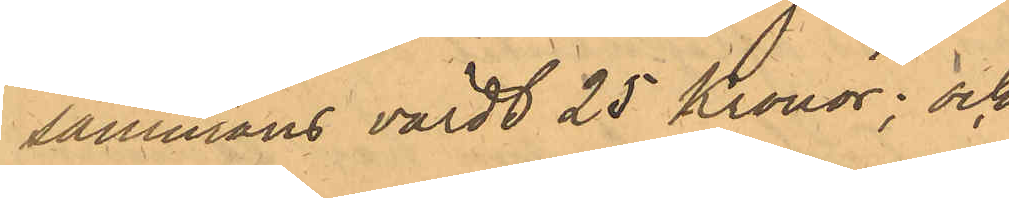sammans värdt 25 Kronor; och
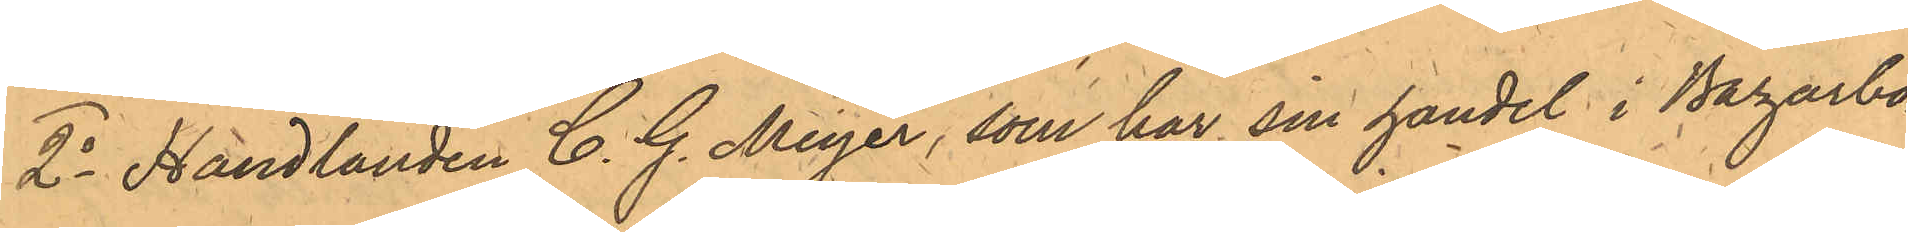2o Handlanden C. G. Meyer, som har sin handel i Bazarbo¬
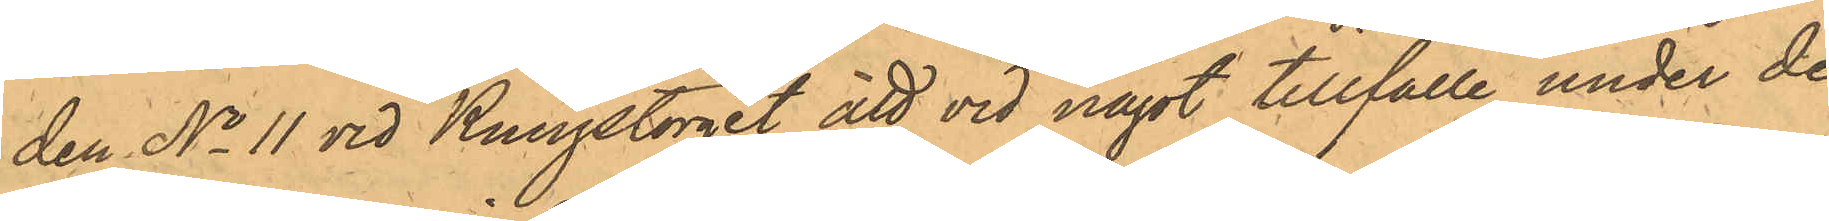den No 11 vid Kungstorget, att vid något tillfälle under de
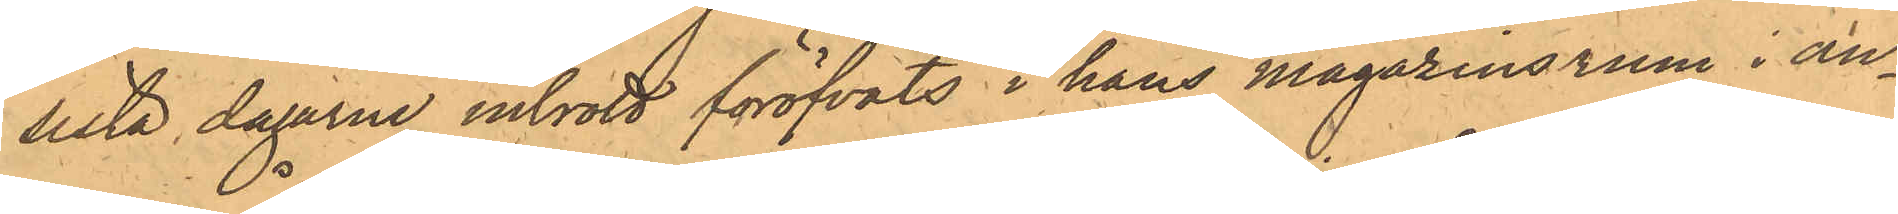sista dagarna inbrott föröfvats i hans magasinsrum i an¬
